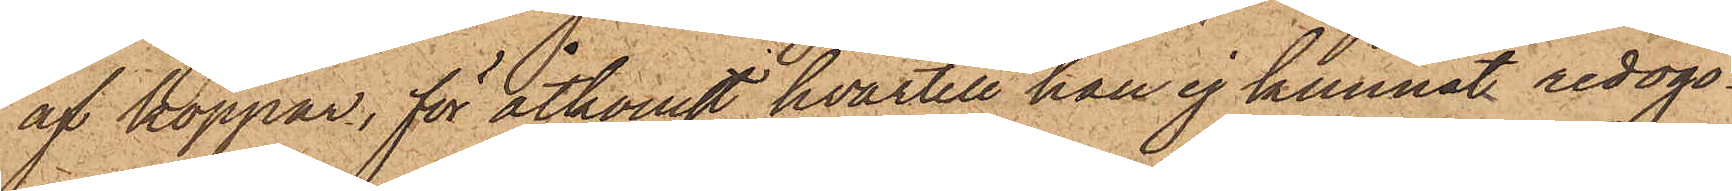af koppar, för åtkomst hvartill han ej kunnat redogö¬
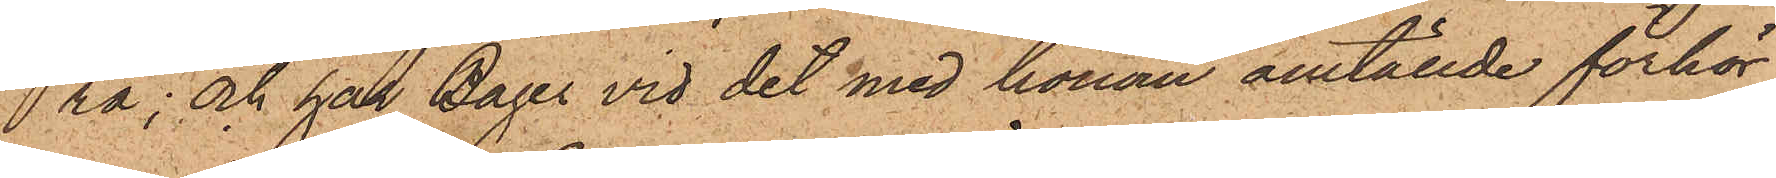ra; och har Bager vid det med honom anställde förhör
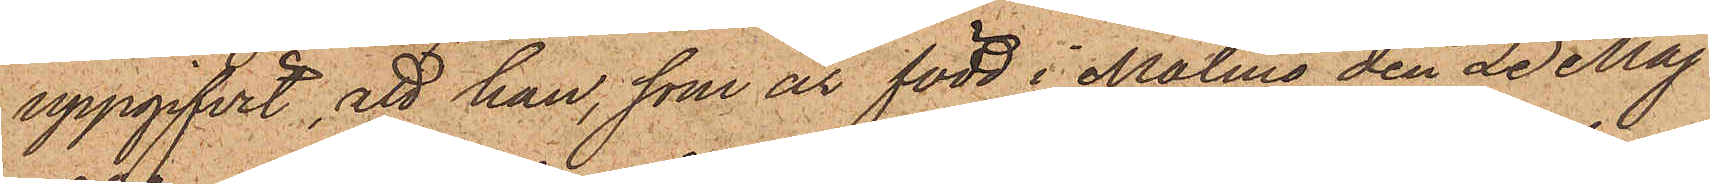uppgifvit, att han, som är född i Malmö den 23 Maj
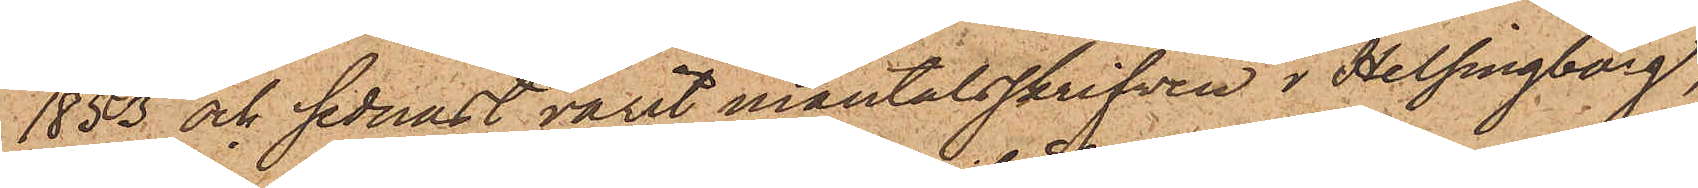1853 och sednast varit mantalsskrifven i Helsingborg,
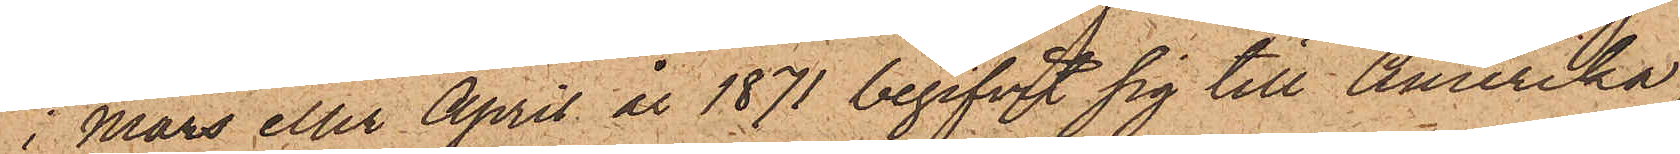i Mars eller April år 1871 begifvit sig till Amerika,
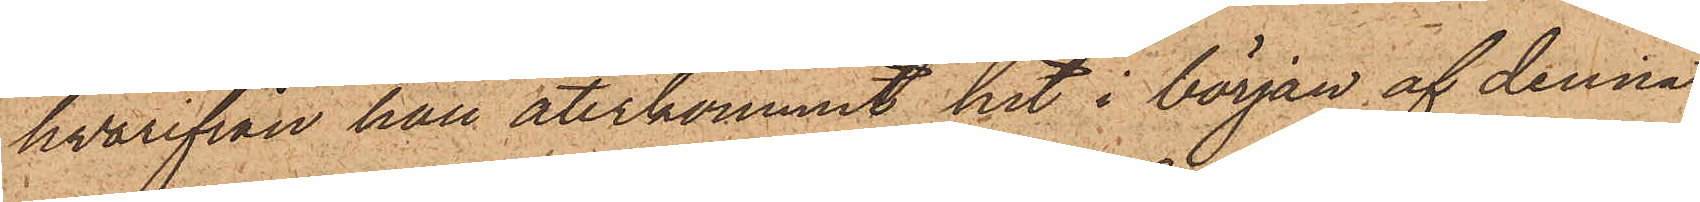hvarifrån han återkommit hit i början af denna
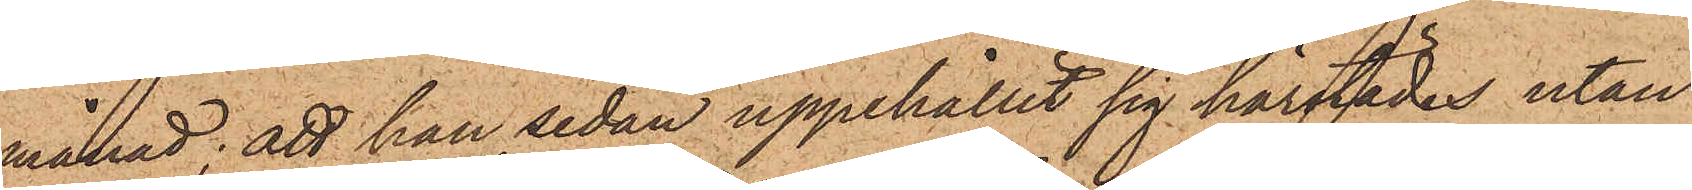månad; att han sedan uppehållit sig härstädes utan
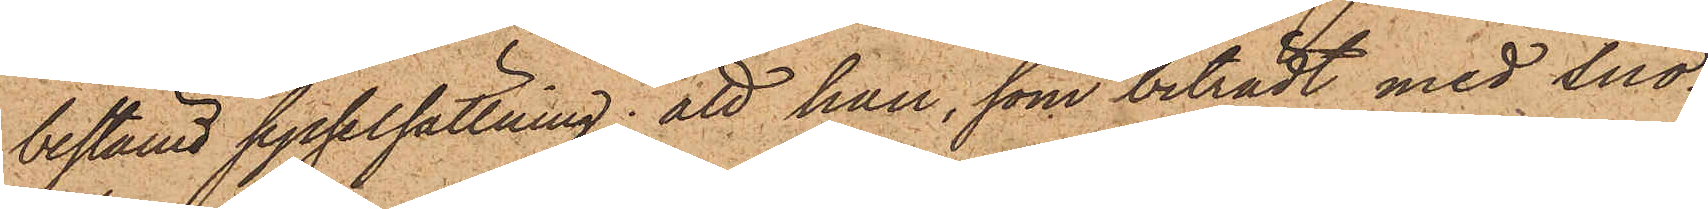bestämd sysselsättning; att han, som biträdt med snö¬
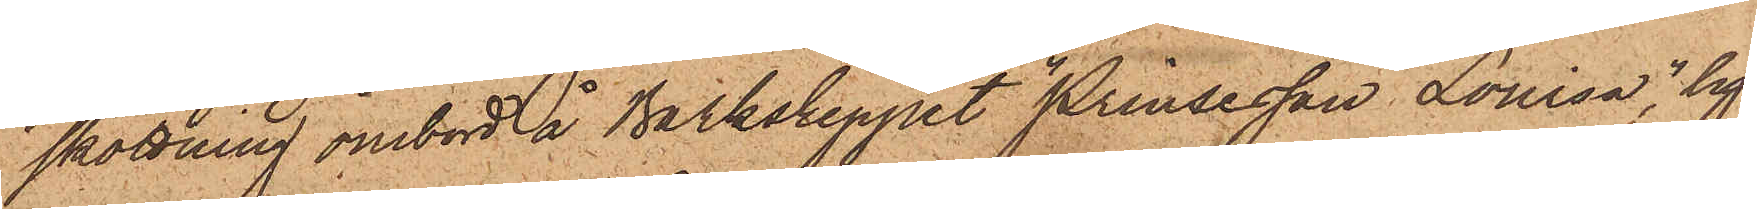skottning ombord å Barkskeppet "Prinsesson Lovisa" lig¬
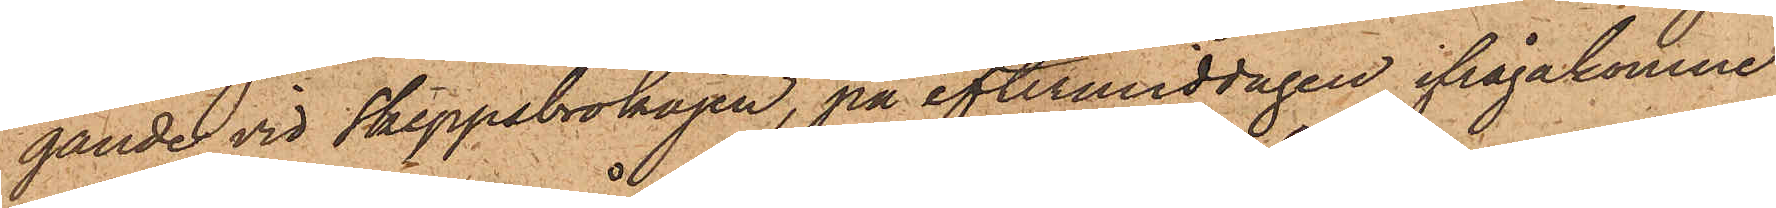gande vid Skeppsbrokajen, på eftermiddagen ifrågakomne
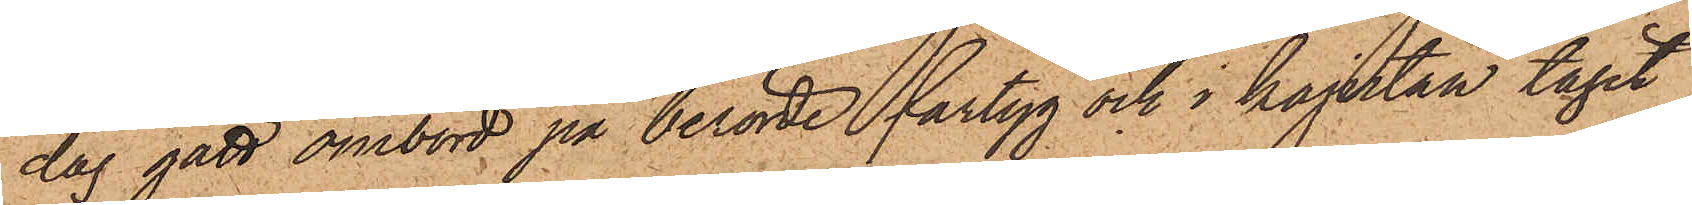dag gått ombord på berörde fartyg och i kajutan tagit
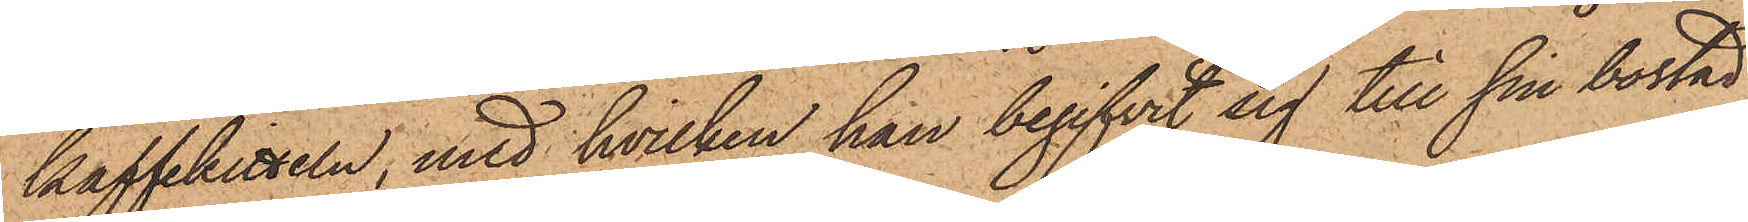kaffekitteln, med hvilken han begifvit sig till sin bostad
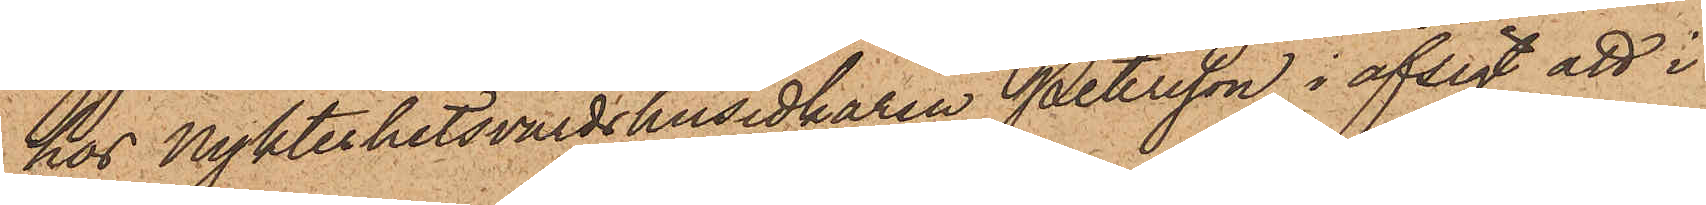hos Nykterhetsvärdshusidkaren Petersson i afsigt att i
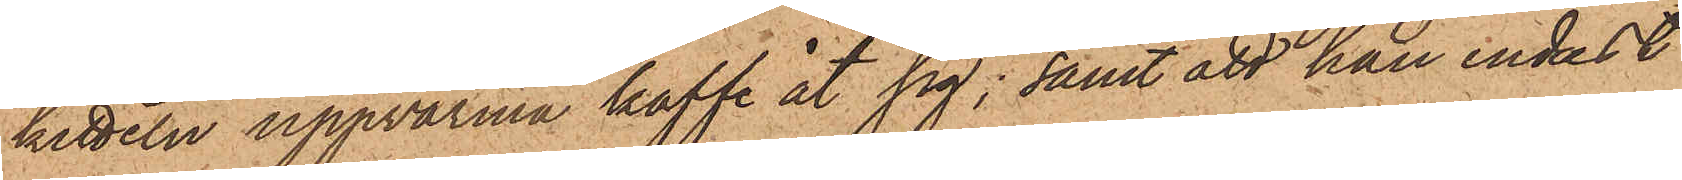kitteln uppvarma kaffe åt sig; samt att han endast
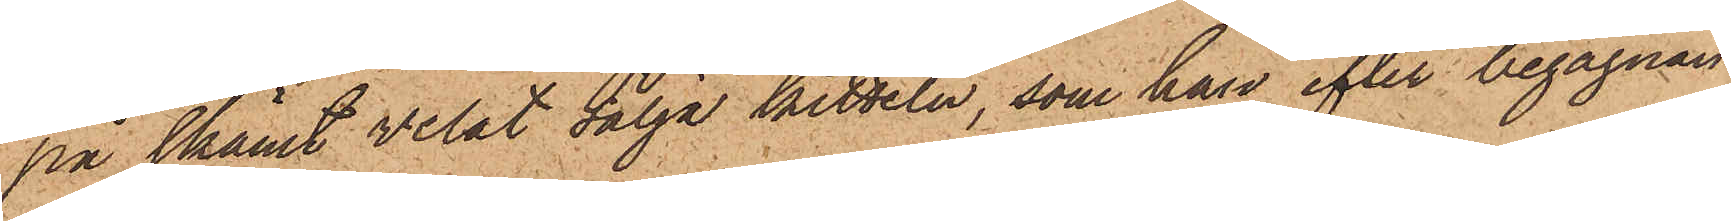på skämt velat sälja kitteln, som han efter begagnan¬
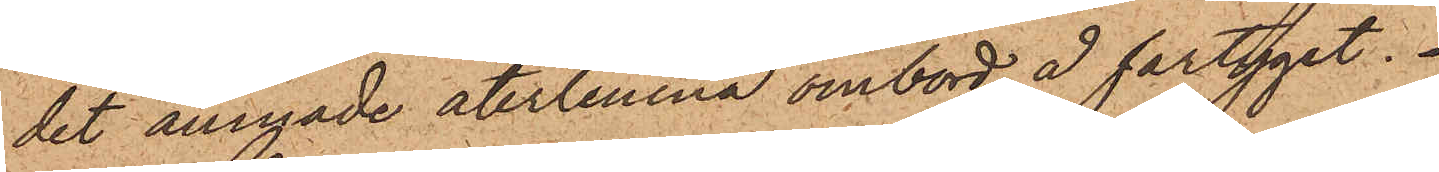det ämnade återlemna ombord å fartyget.
